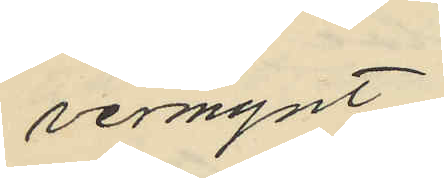vermynt.
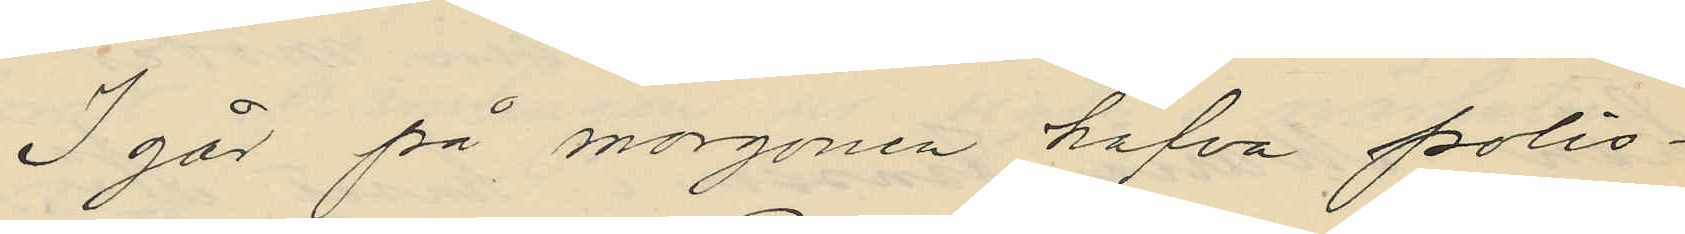I går på morgonen hafva polis¬
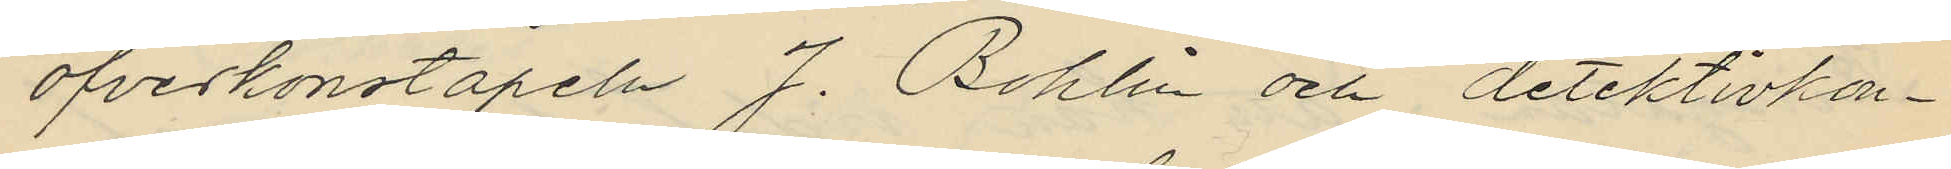öfverkonstapeln J. Bohlin och detektivkon¬
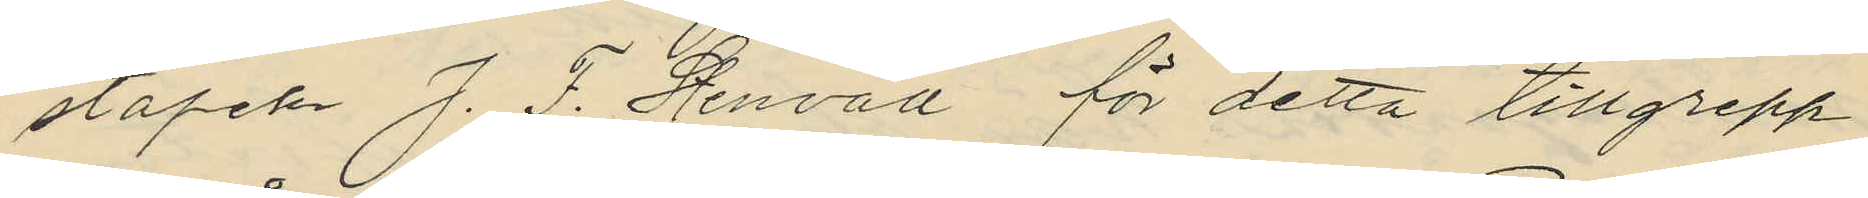stapeln J. F. Stenvall för detta tillgrepp
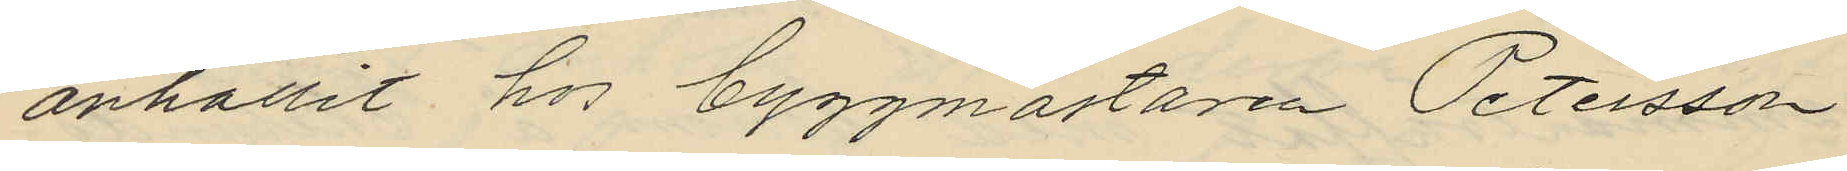anhållit hos byggmästaren Petersson
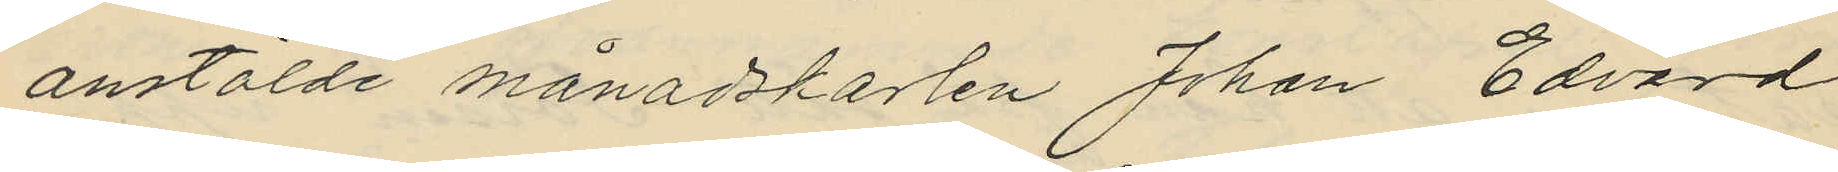anstälde månadskarlen Johan Edvard
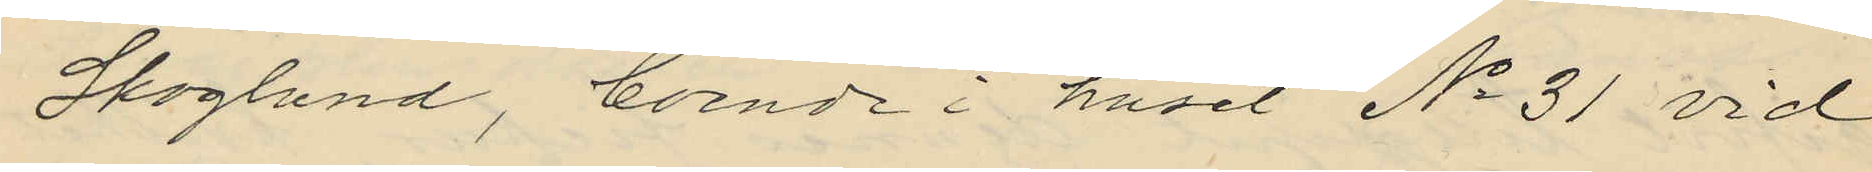Skoglund, boende i huset No 31 vid
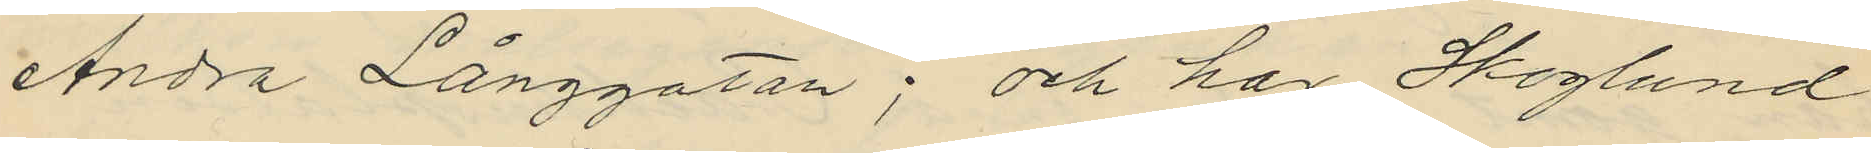Andra Långgatan; och har Skoglund
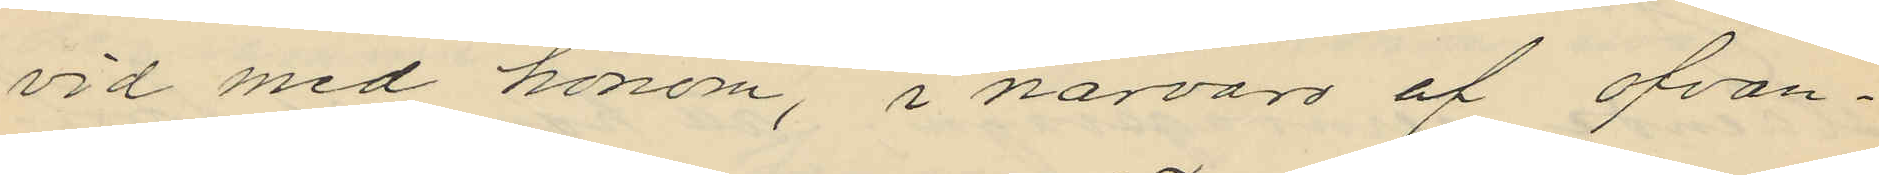vid med honom, i närvaro af ofvan¬
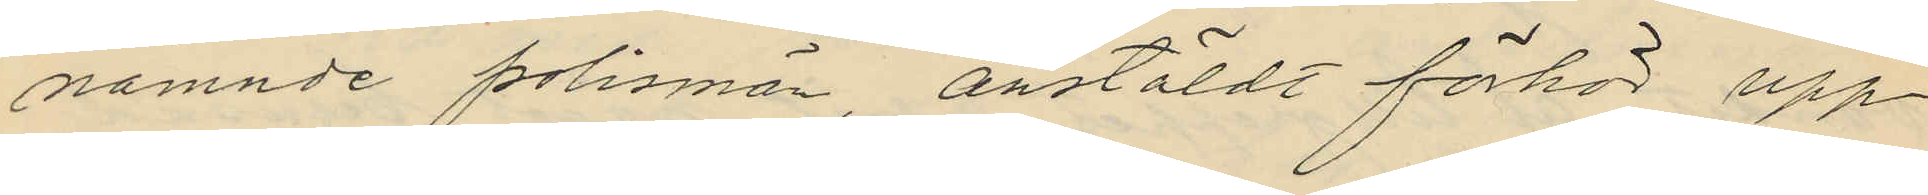nämnde polismän, anstäldt förhör upp¬
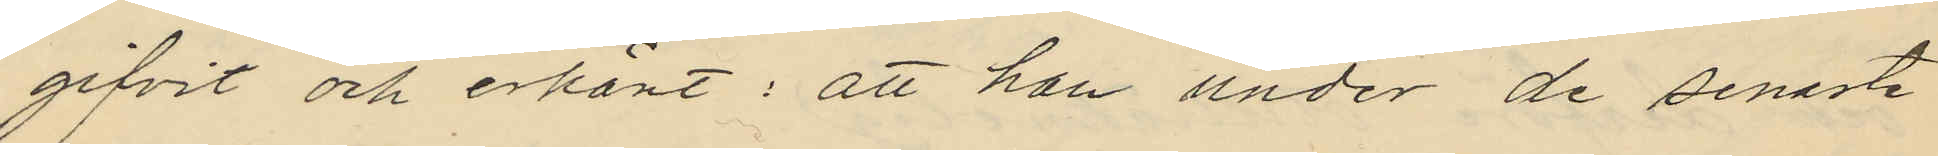gifvit och erkänt: att han under de senaste
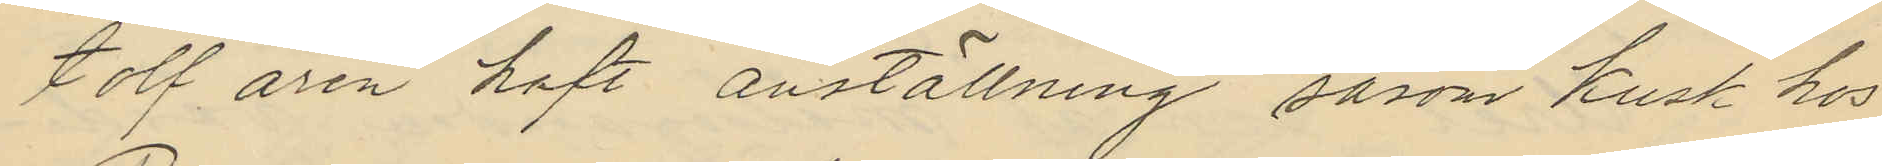tolf åren haft anställning såsom kusk hos
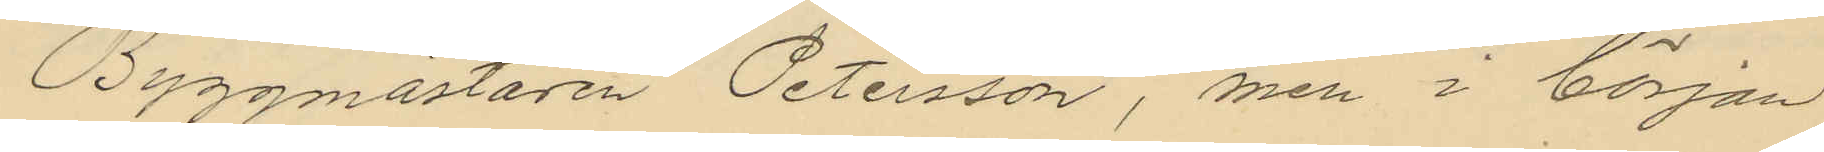Byggmästaren Petersson, men i början
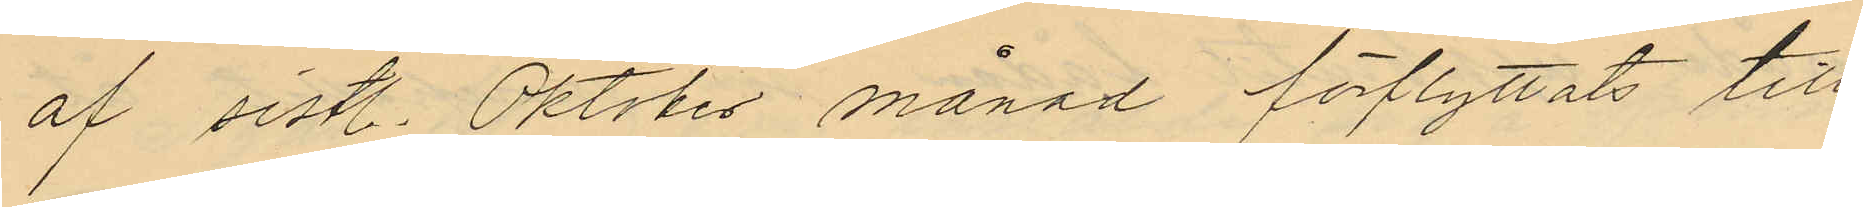af sistl. Oktober månad förflyttats till
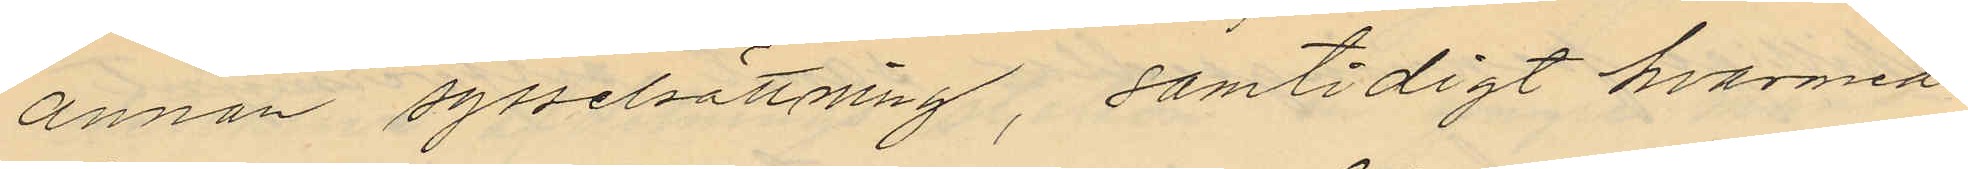annan sysselsättning, samtidigt hvarmed
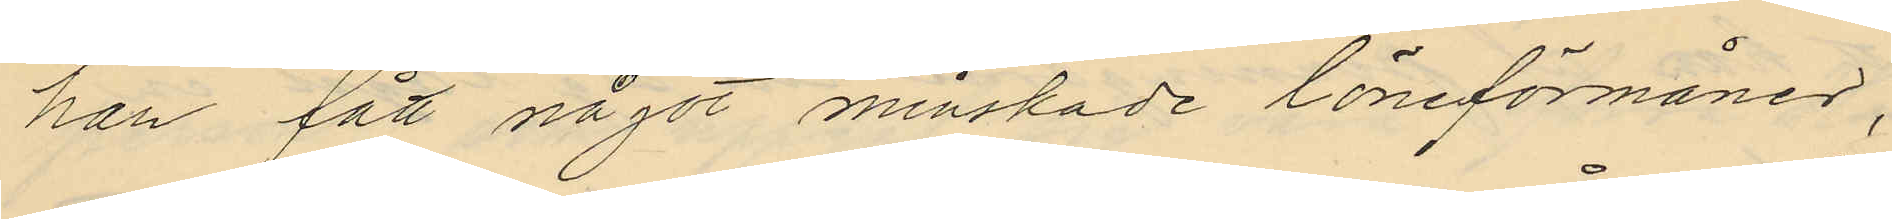han fått något minskade låneförmåner;
